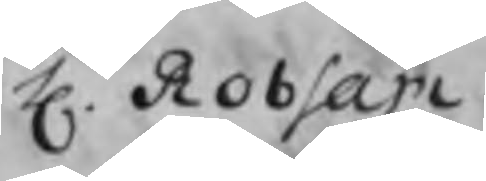H. Robsam
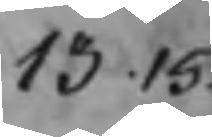13.15
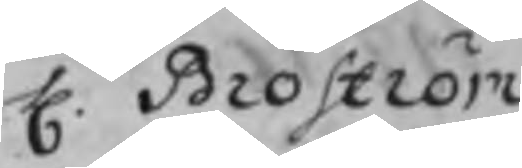H. Broström
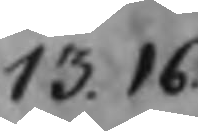13.16
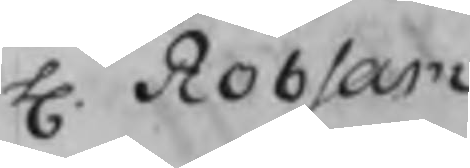H. Robsam
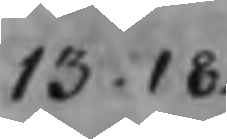13.18
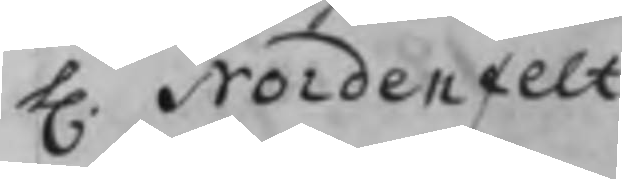H. Nordenfelt
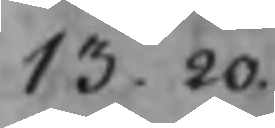13.20
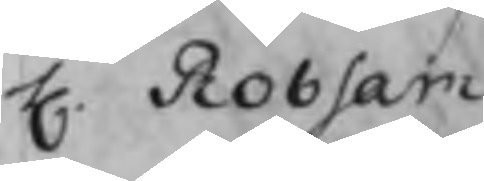H. Robsam
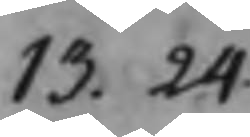13.24
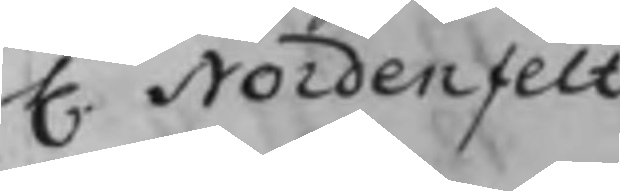H. Nordenfelt
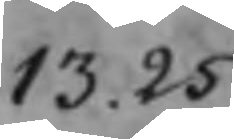13.25
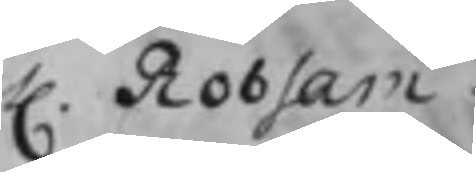H. Robsam
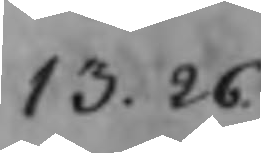13.26
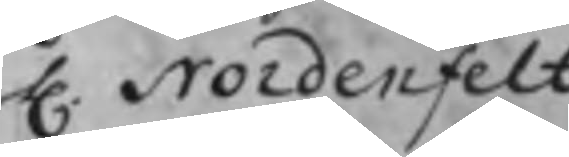H. Nordenfelt
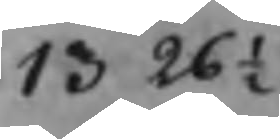13.26½
